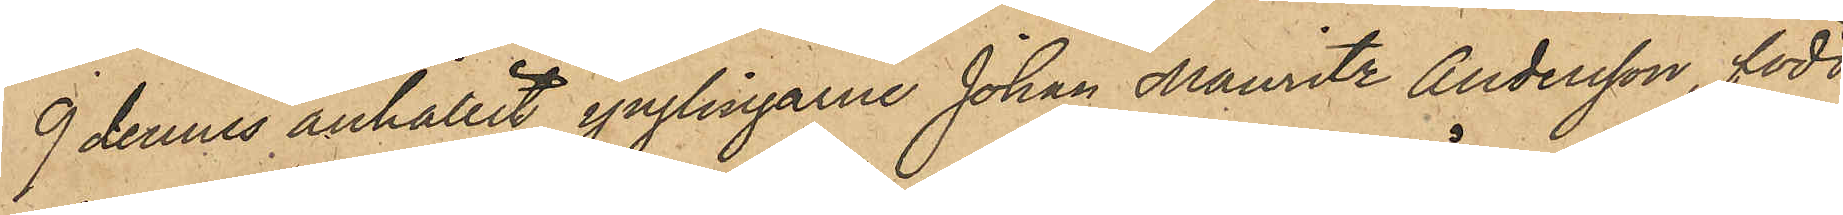9 dennes anhållit ynglingarne Johan Mauritz Andersson, född
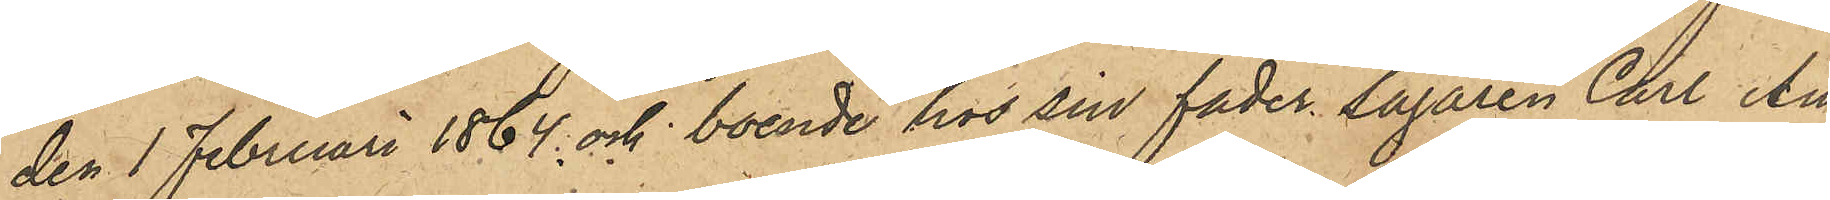den 1 Februari 1864 och boende hos sin fader Sågaren Carl An¬
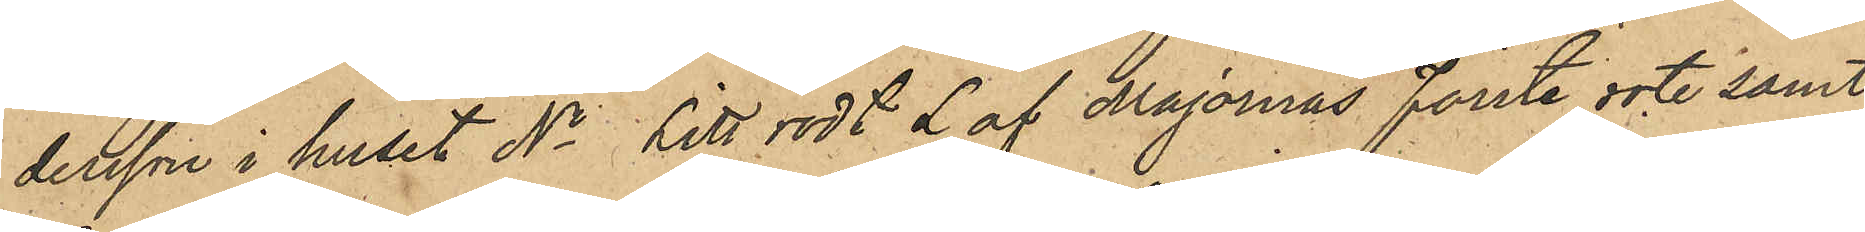dersson i huset No Litt rödt L af Majornas förste rote samt
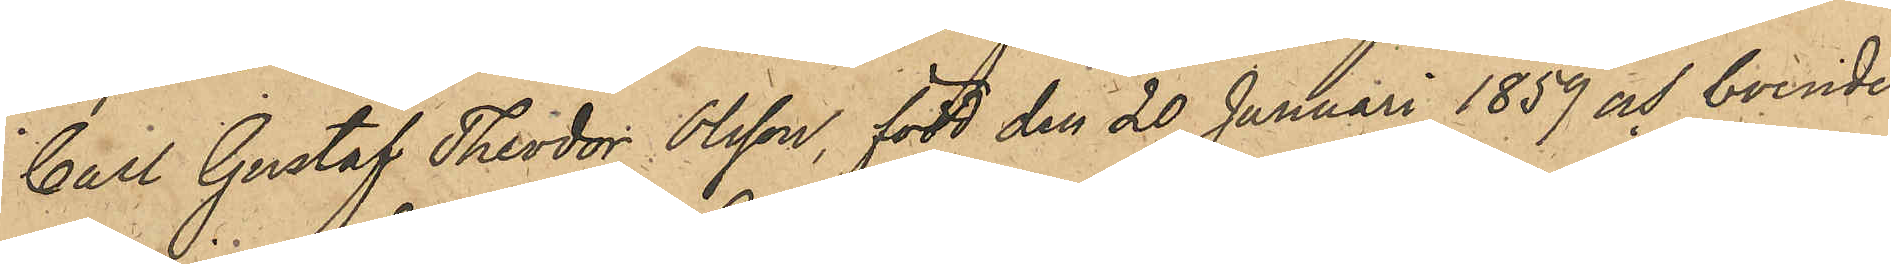Carl Gustaf Theodor Olsson, född den 30 Januari 1859 och boende
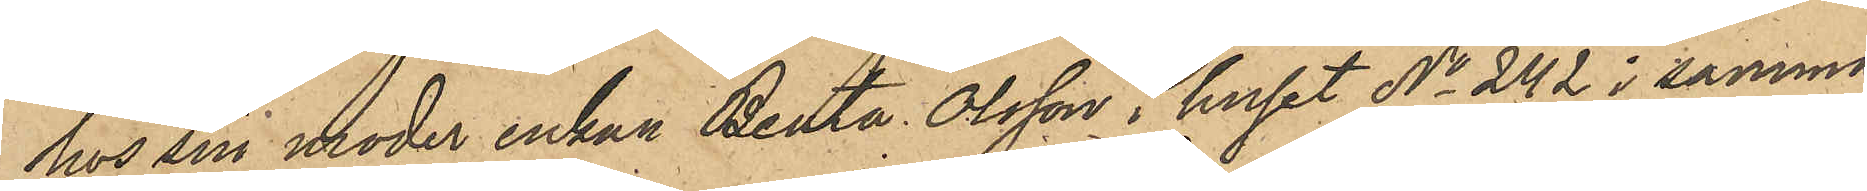hos sin moder enkan Beata Olsson i huset No 242 i samma
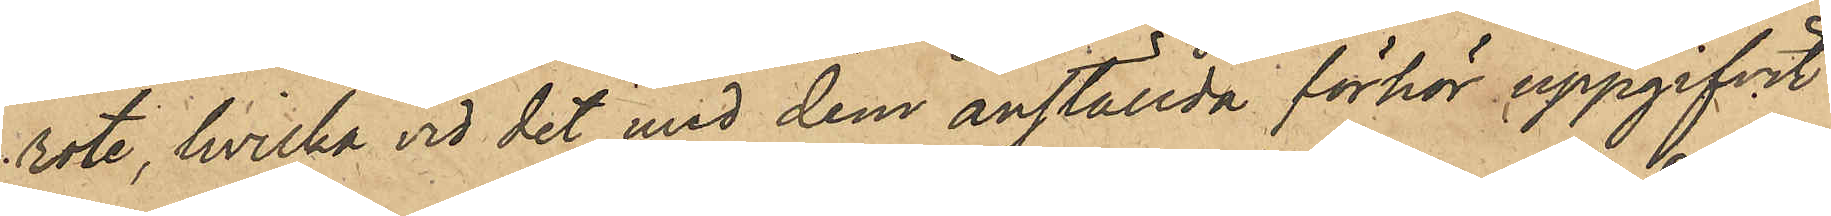rote, hvilka vid det med dem anställda förhör uppgifvit:
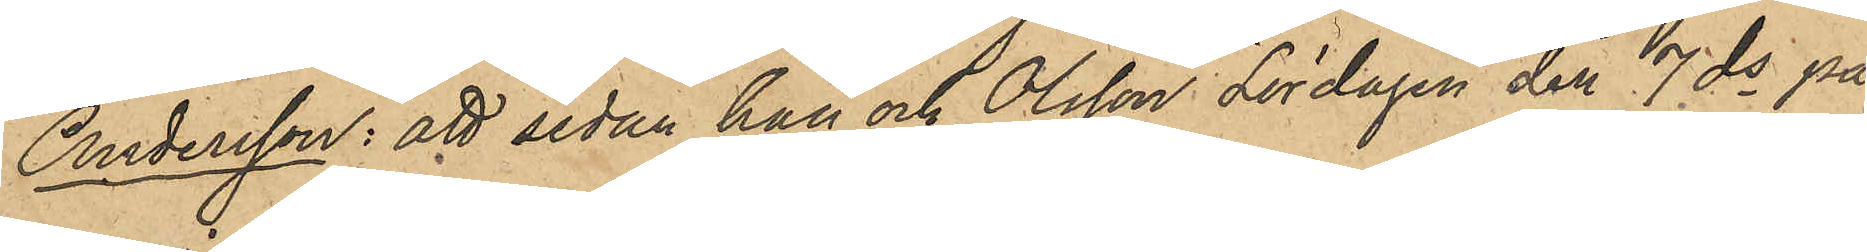Andersson: att sedan han och Olsson Lördagen den 7 ds på
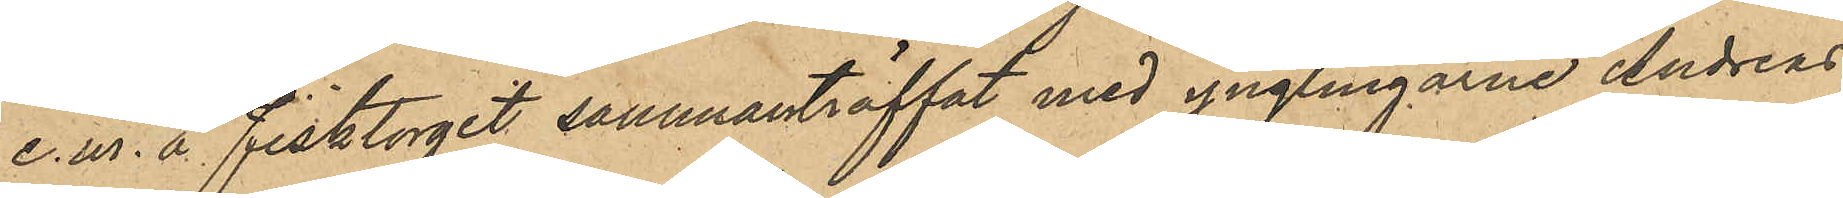e.m. å fisktorget sammanträffat med ynglingarne Andreas
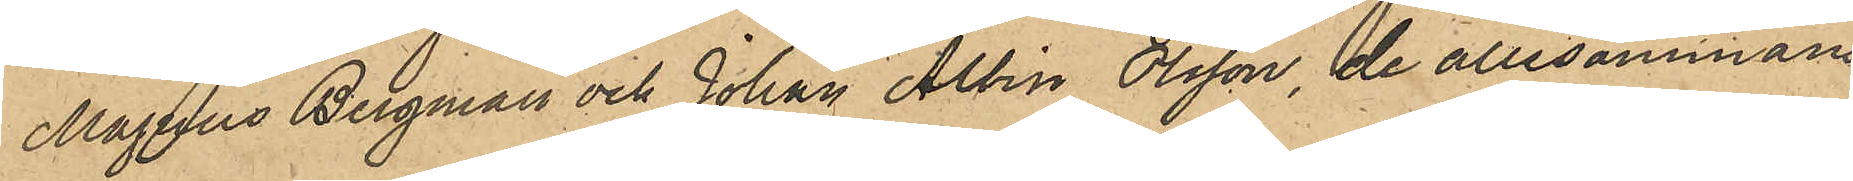Magnus Bergman och Johan Albin Olsson, de allesammans
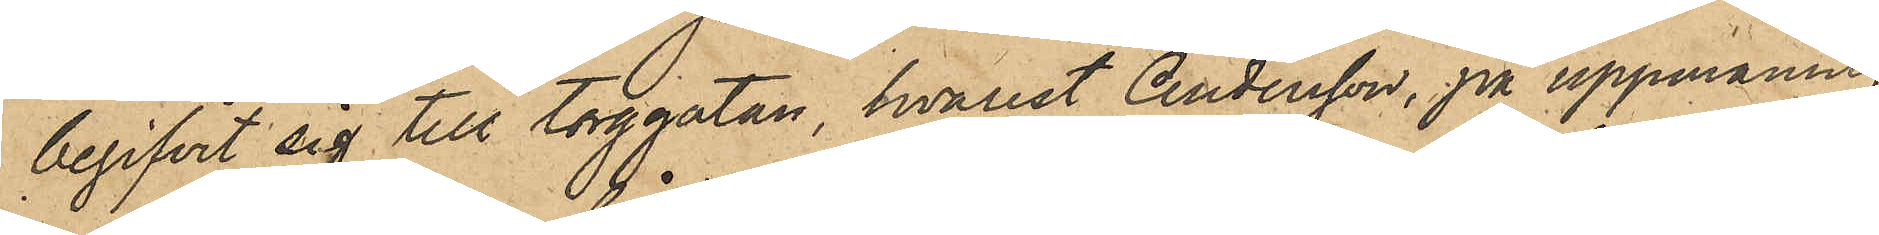begifvit sig till torggatan, hvarest Andersson, på uppmaning
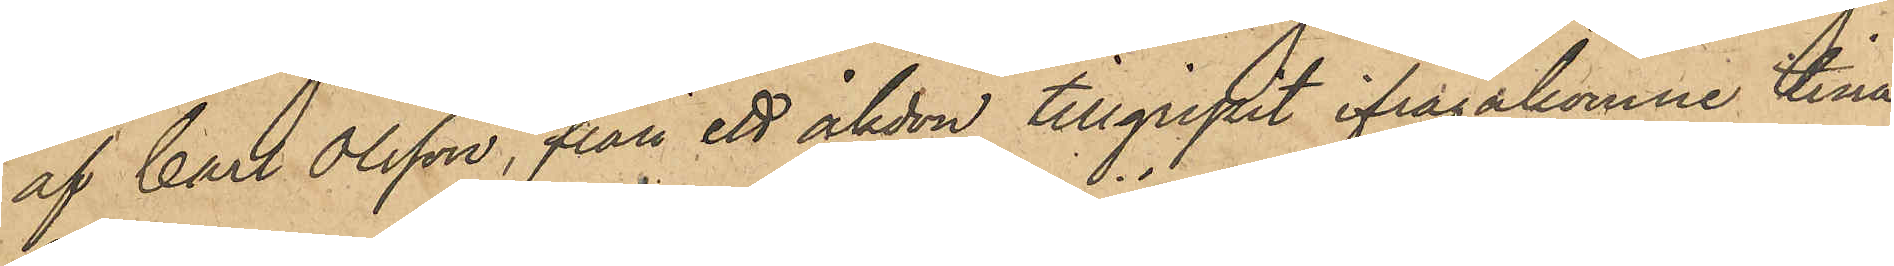af Carl Olsson, från ett åkdon tillgripit ifrågakomne tina,
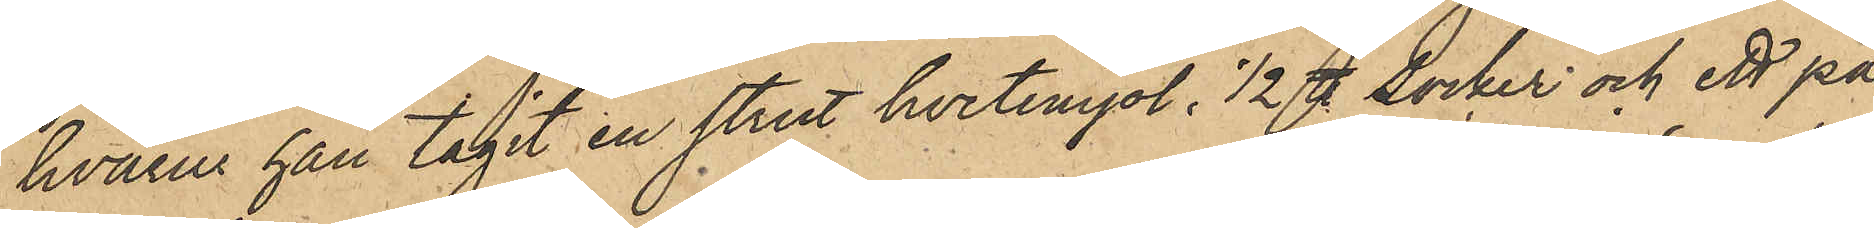hvarur han tagit en strut hvetemjöl, 1/2 ℔ Socker och ett pa¬
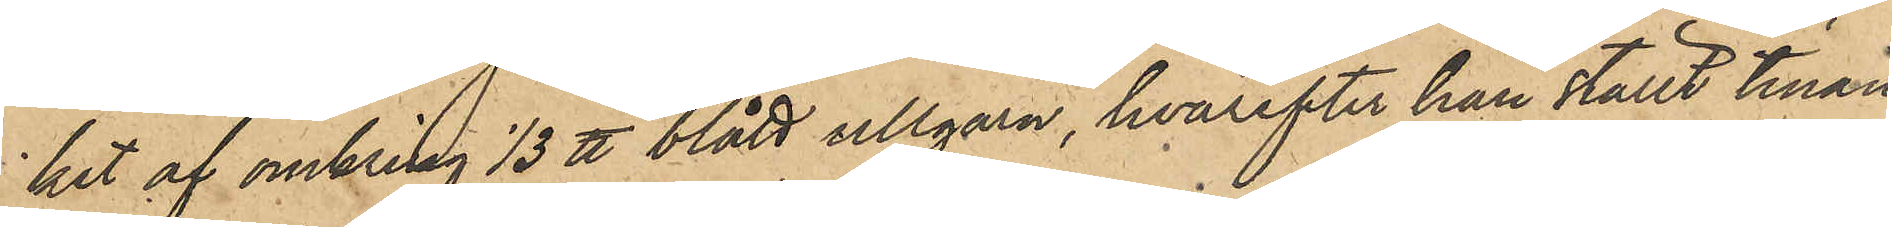ket af omkring 1/3 ℔ blått ullgarn, hvarefter han ställt tinan
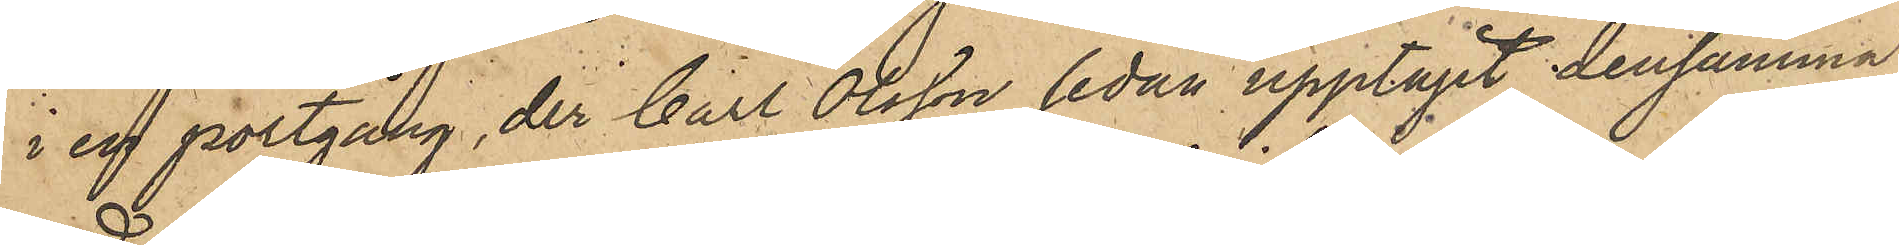i en portgång, der Carl Olsson sedan upptagit densamma;
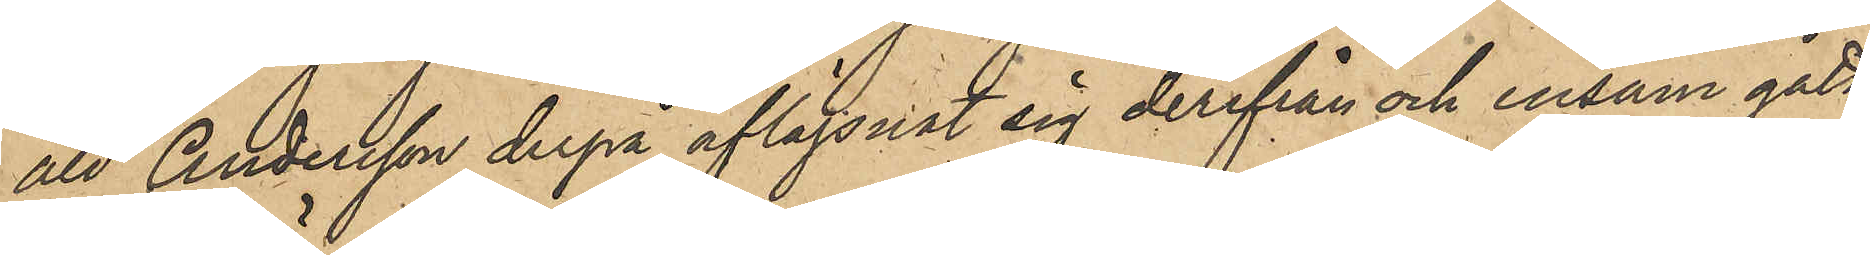att Andersson derpå aflägsnat sig derifrån och ensam gått
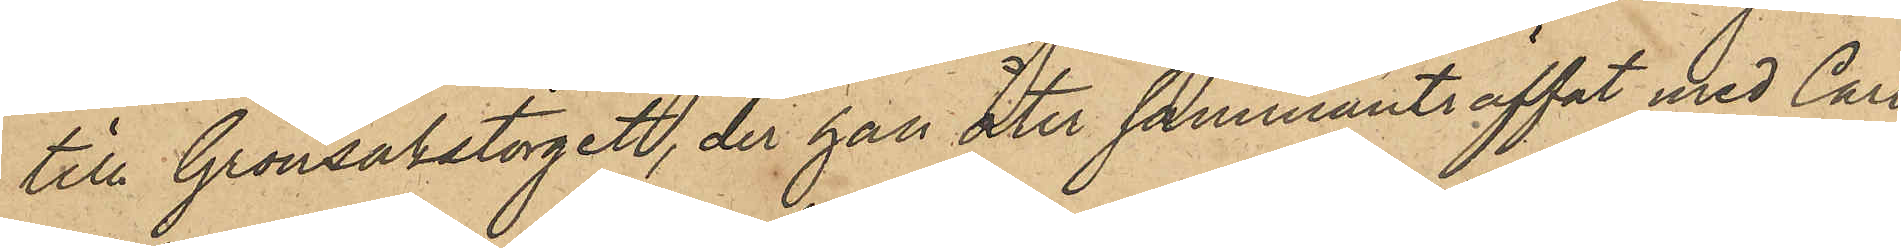till Grönsakstorget, der han åter sammanträffat med Carl
